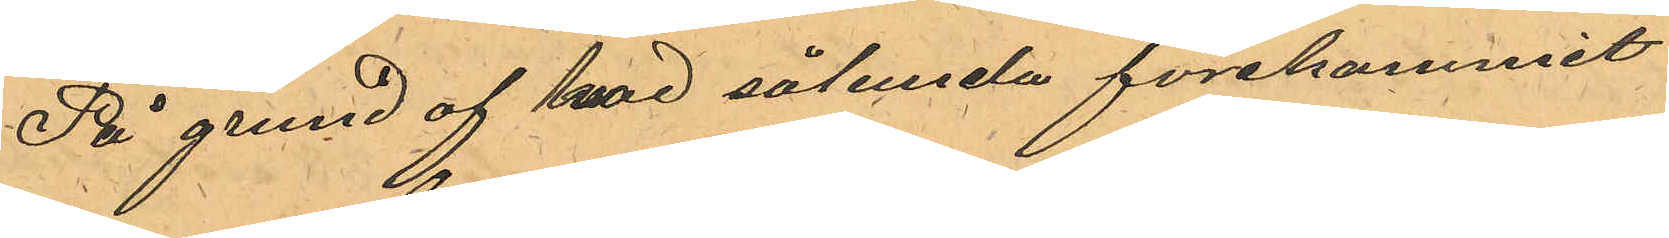På grund af hvad sålunda förekommit
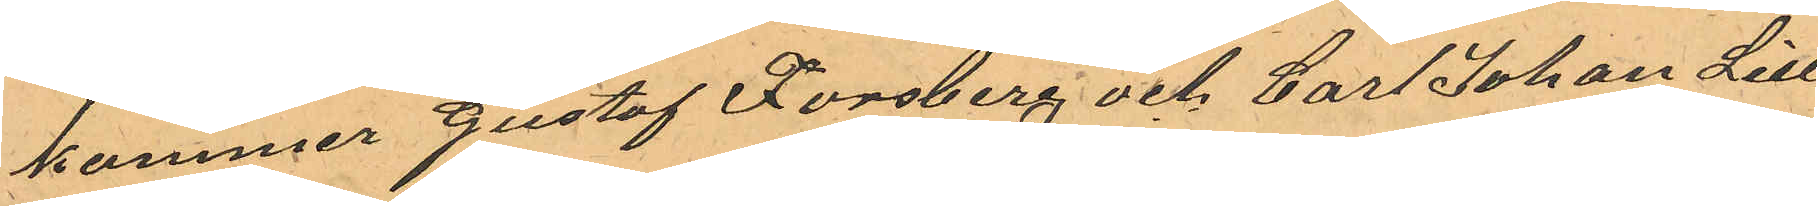kommer Gustaf Forsberg och Carl Johan Lill¬
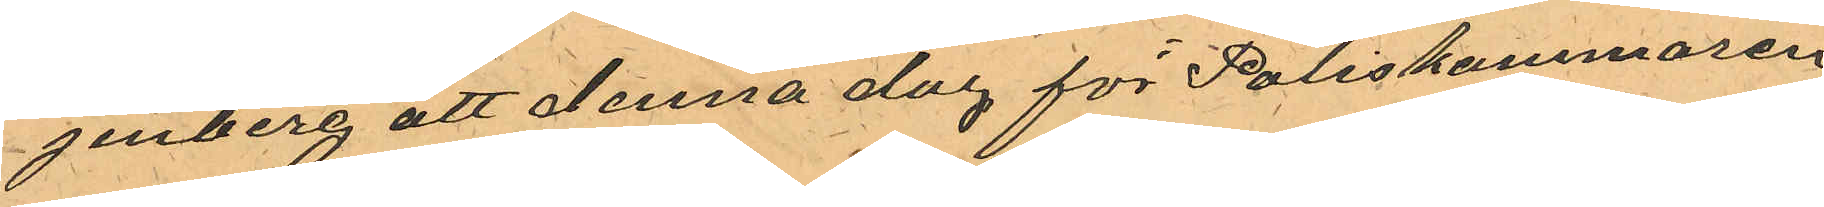jenberg att denna dag för Poliskammaren
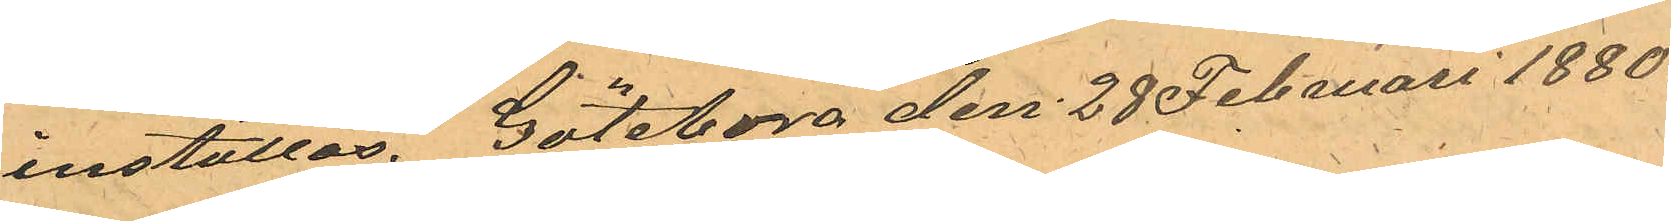inställas. Göteborg den 28 Februari 1880.
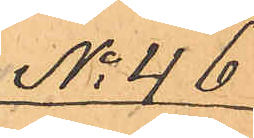No 46
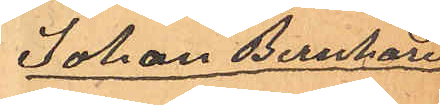Johan Bernhard
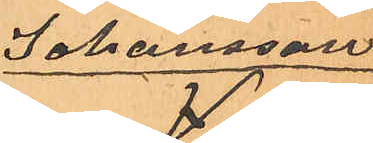Johansson
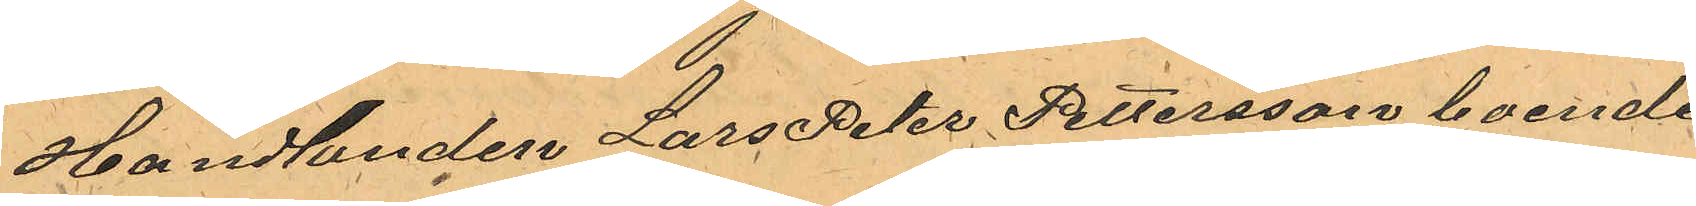Handlanden Lars Peter Pettersson boende
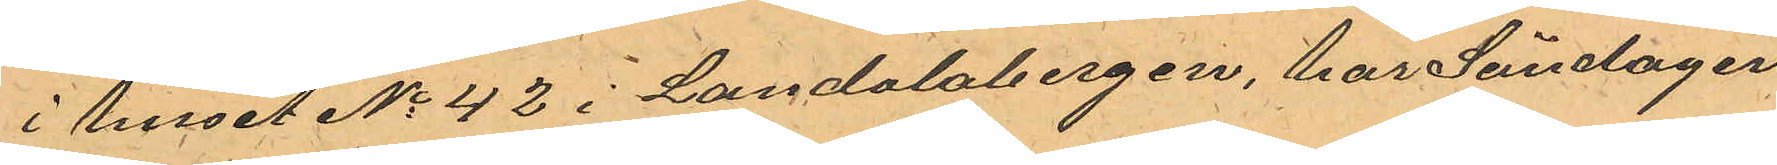i huset No 42 i Landalabergen, har Söndagen
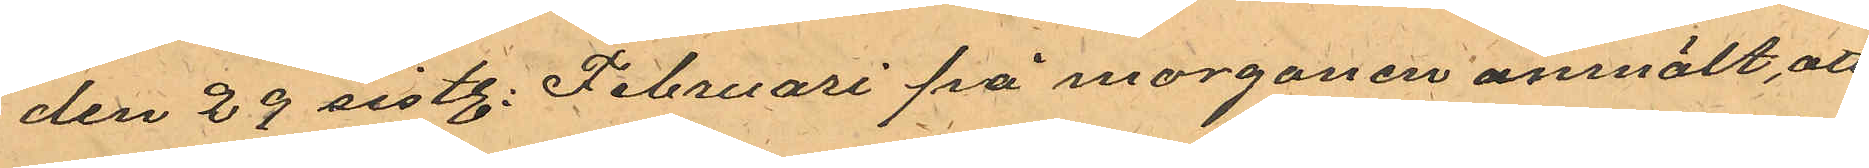den 29 sistl. Februari på morgonen anmält, att
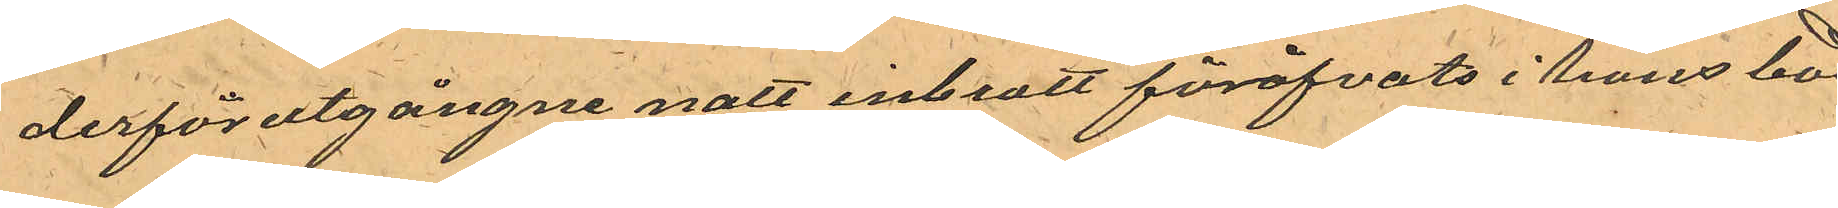derförutgångne natt inbrott föröfvats i hans bod
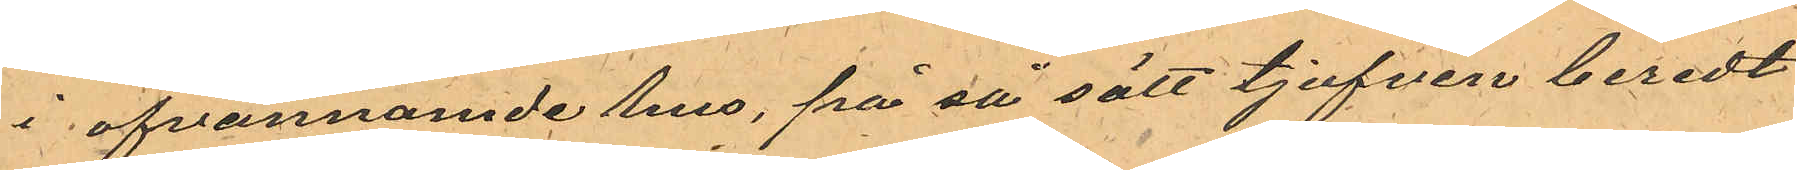i ofvannamde hus, på så sätt tjufven beredt
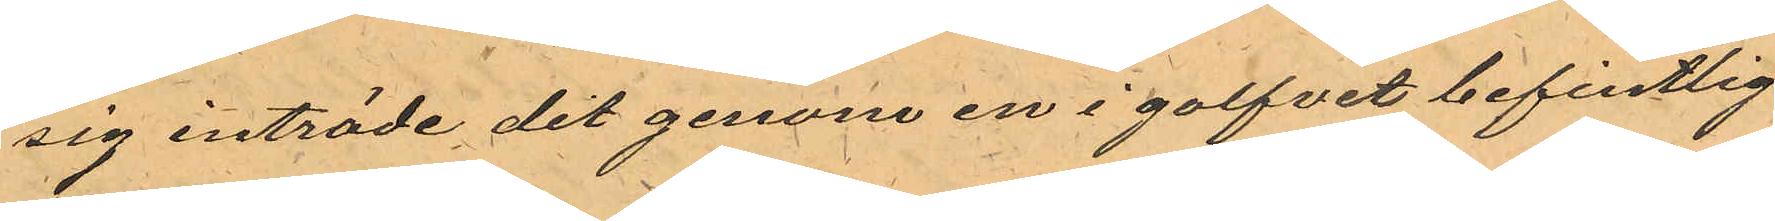sig inträde dit genom en i golfvet befintlig
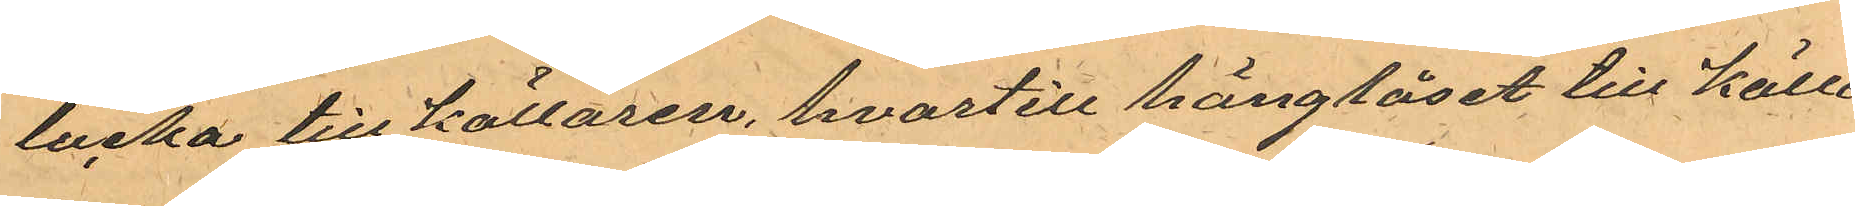lucka till källaren, hvartill hänglåset till källa¬
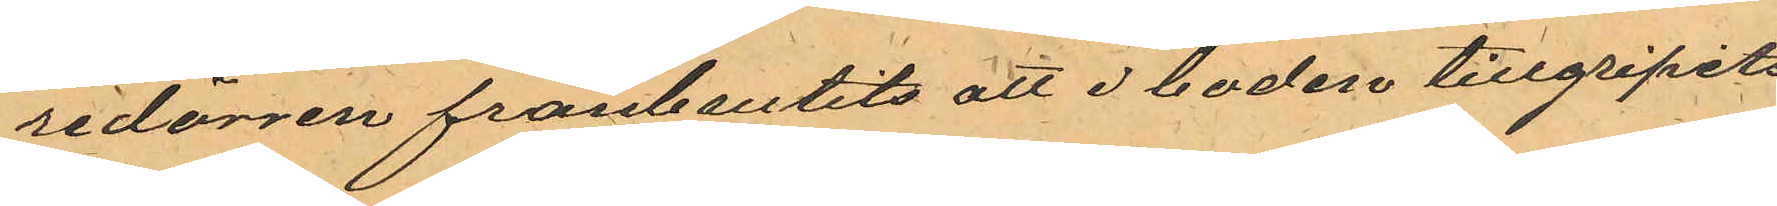redörren frånbrutits att i boden tillgripits
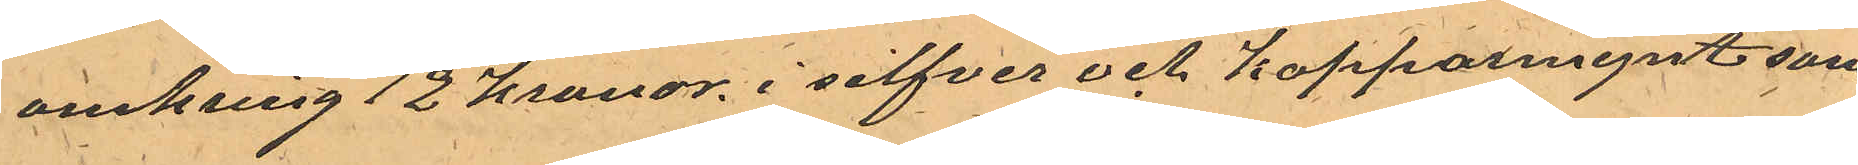omkring 12 kronor i silfver och kopparmynt som
